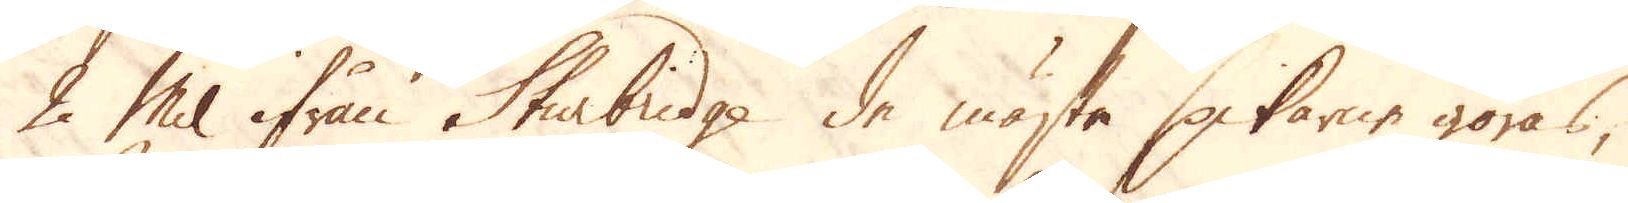2 Mil ifrån Sturbridge de mästa spikarne göras,
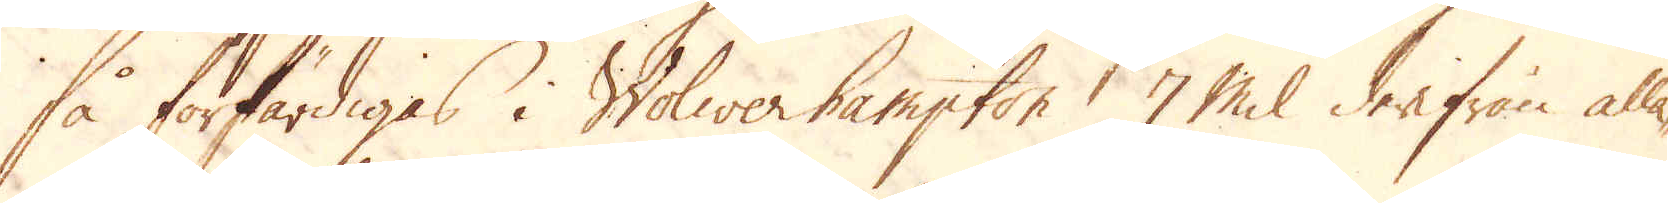så förfärdigas i Wolwerhampton 7 Mil derifrån alla-
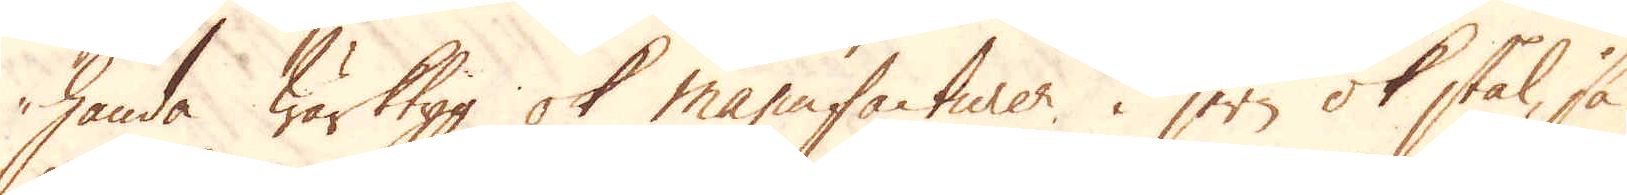handa Wärktyg ok manufacturer, i jern ok stål, så
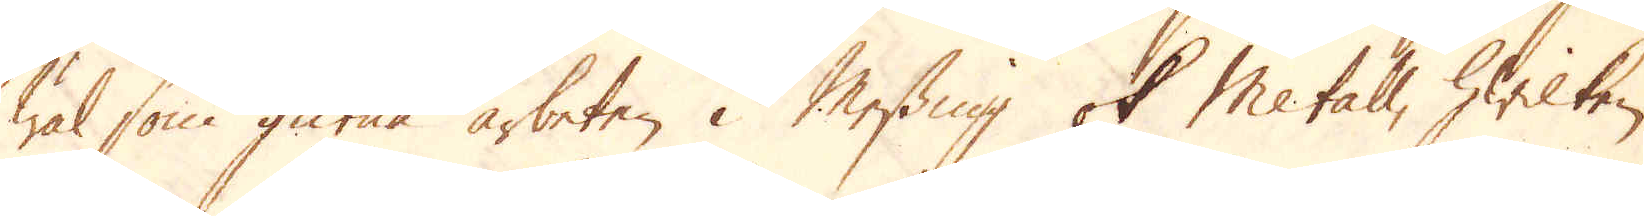wäl som gutna arbeten i Messing ok Metall, hwilken
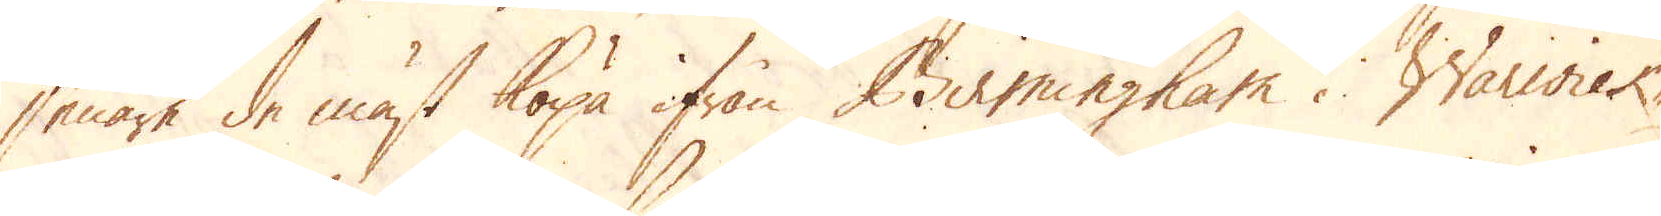senare de mäst köpa ifrån Birmingham i Warwick-
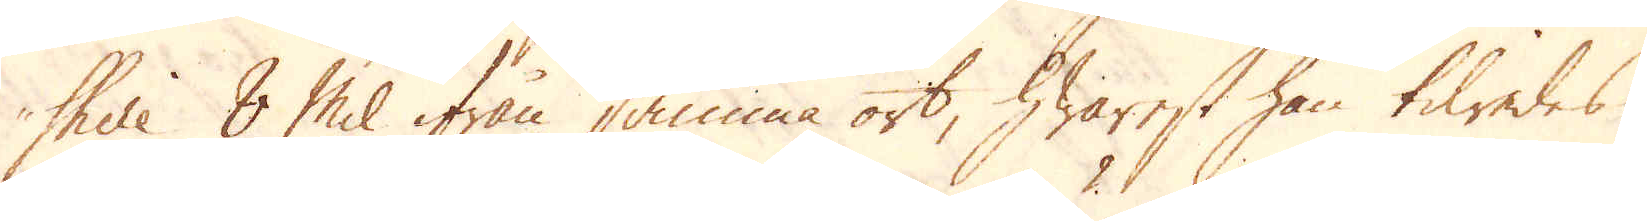shire 8 Mil ifrån samma ort, hwarest han tilredes
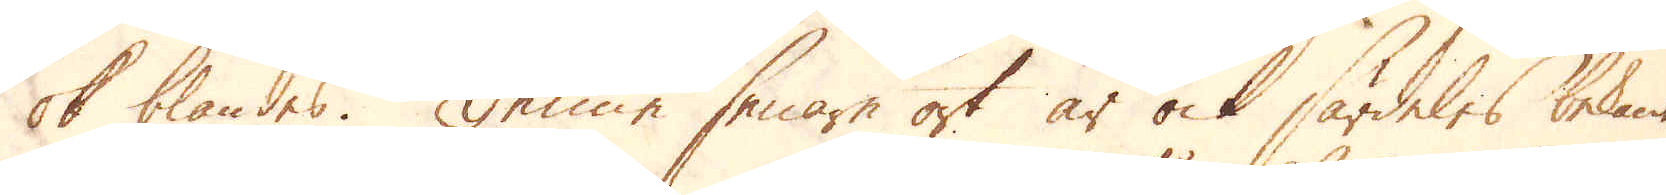ok blandes. Denne senare ort är ock särdeles bekant
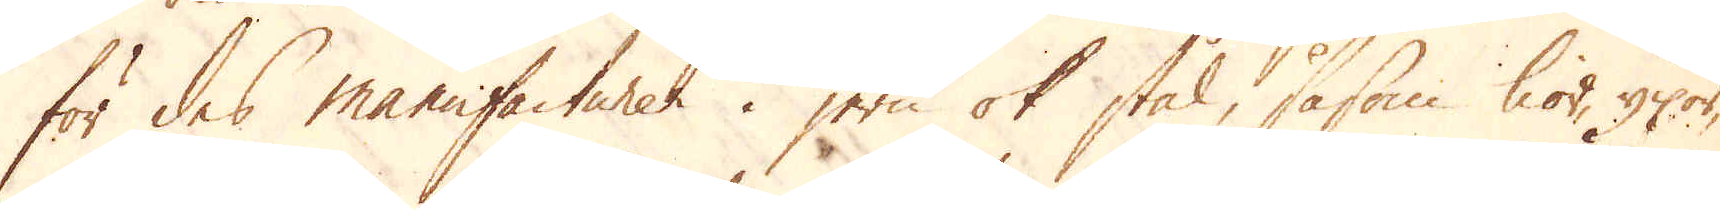för des manufacturer i jern ok stål, såsom lior, yxor,
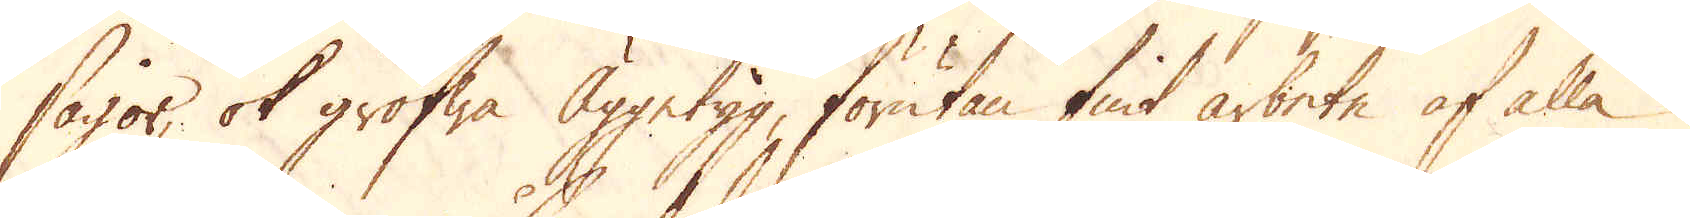sågor, ok grofwa Äggetyg, förutan fint arbete af alla
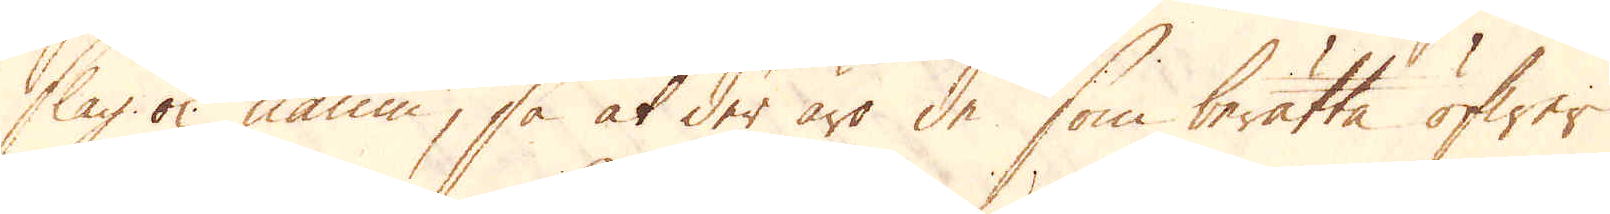slag ok namn, så at der äro de som berätta öfwer
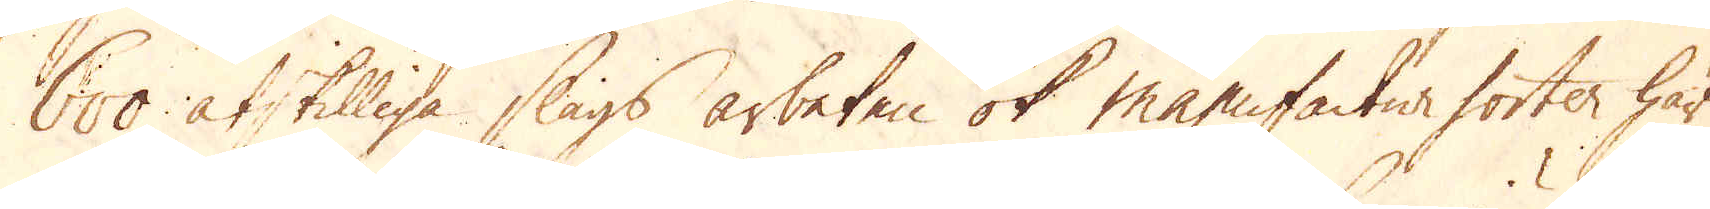600 åtskilliga slags arbeten ok manufactur forter här
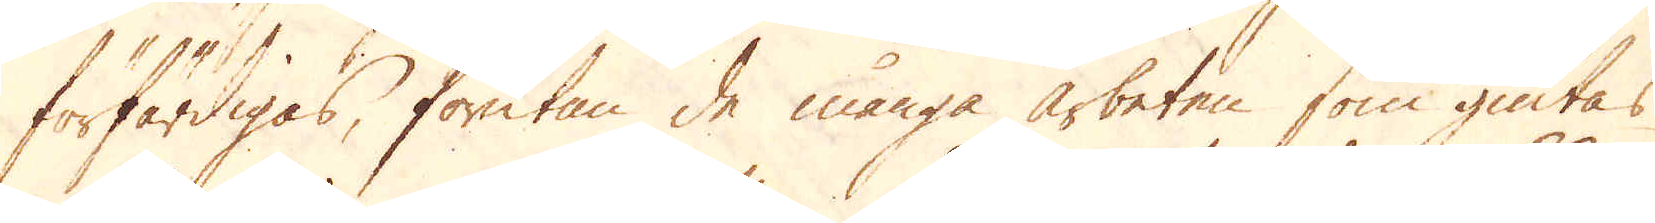förfärdigas, förutan de många arbeten som giutas
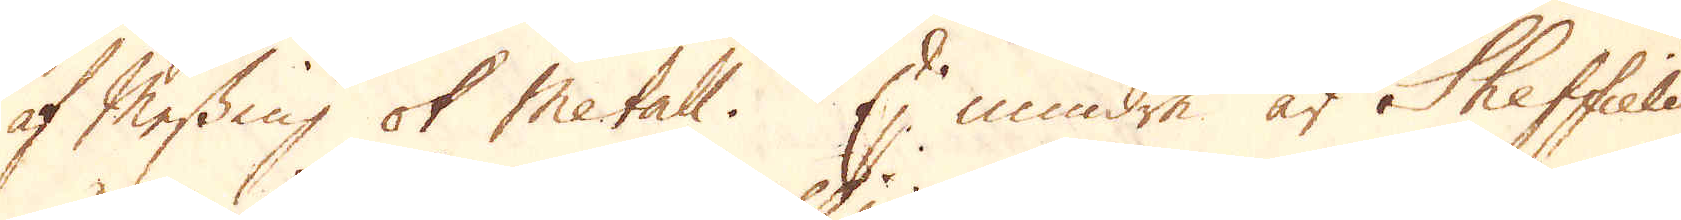af Messing ok Metall. En mindre är Sheffield
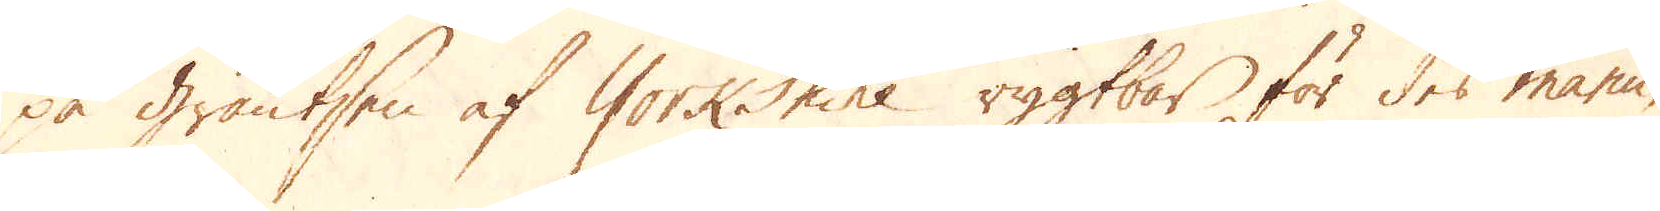på gräntsen af Yorkshire rygtbar för des manu-
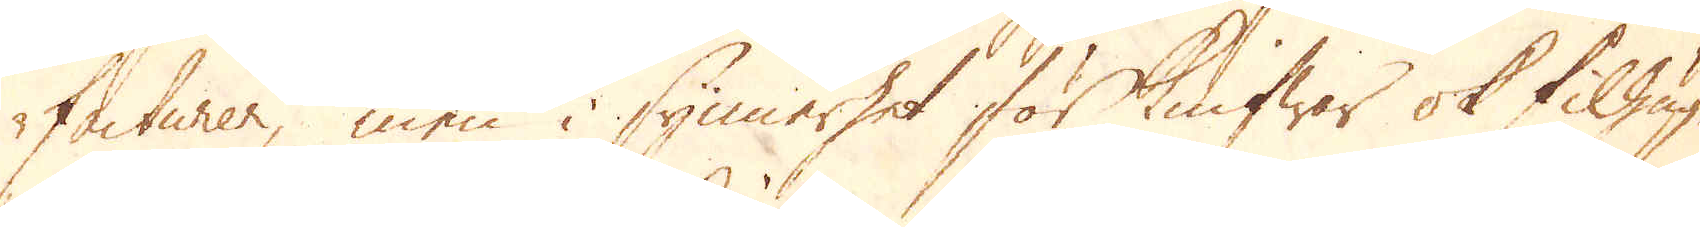facturer, men i synnerhet för Knifwar ok filhug-
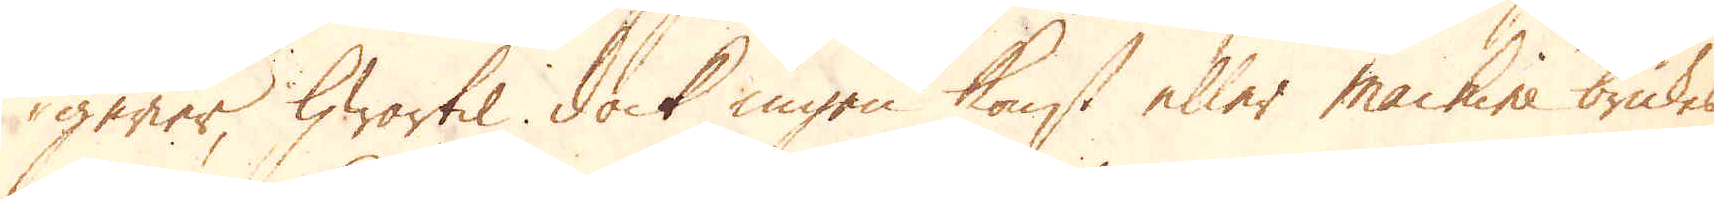gerier, hwartil dock ingen konst eller machine brukes,
